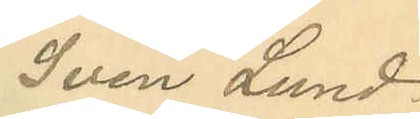Sven Lund¬
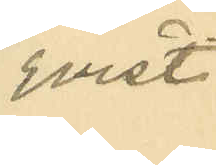qvist,
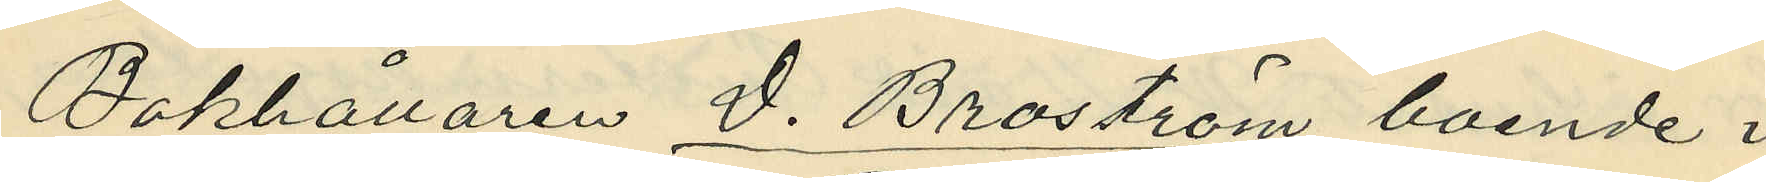Bokhållaren D. Broström, boende i
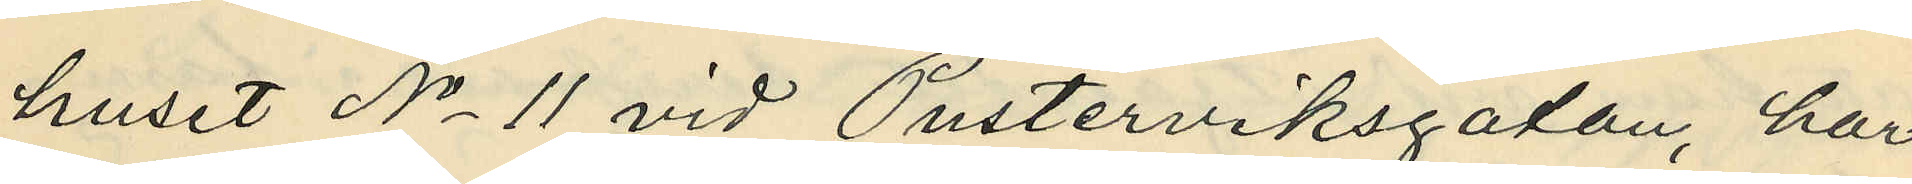huset No 11 vid Pusterviksgatan, har
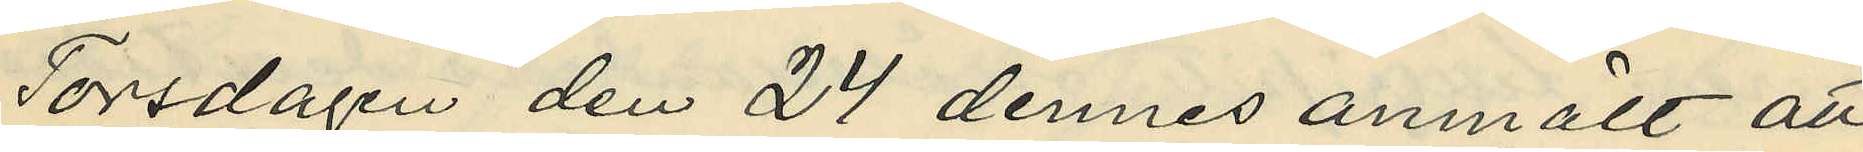Torsdagen den 24 dennes anmält att
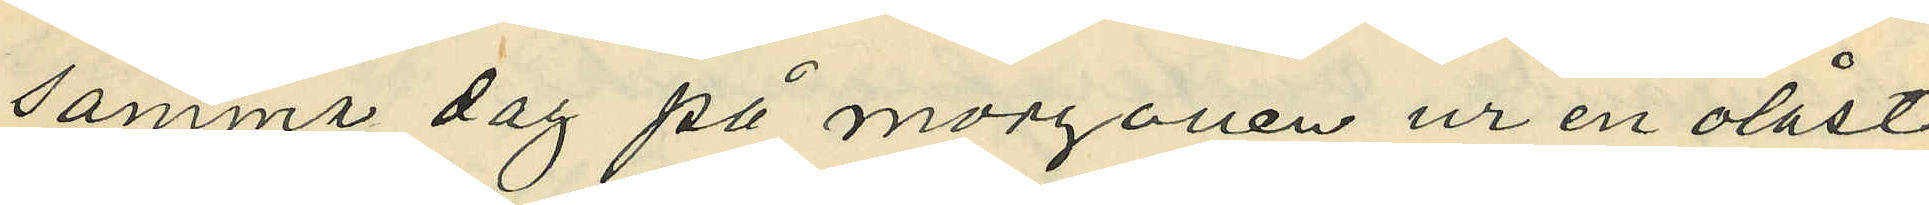samma dag på morgonen ur en olåst
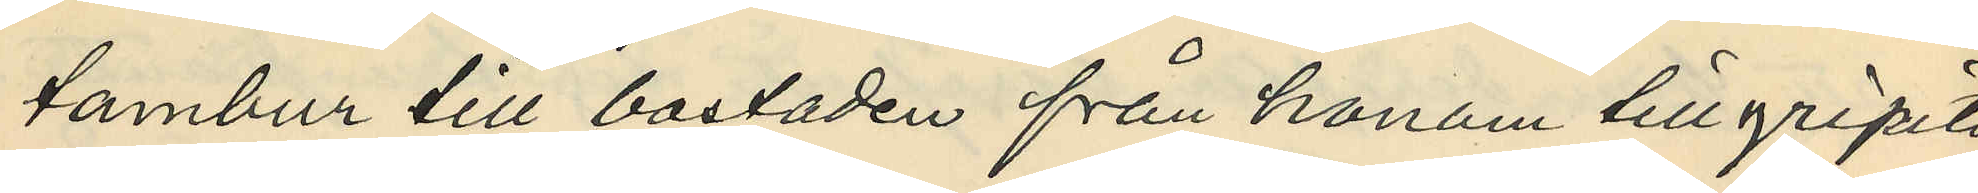tambur till bostaden från honom tillgripits
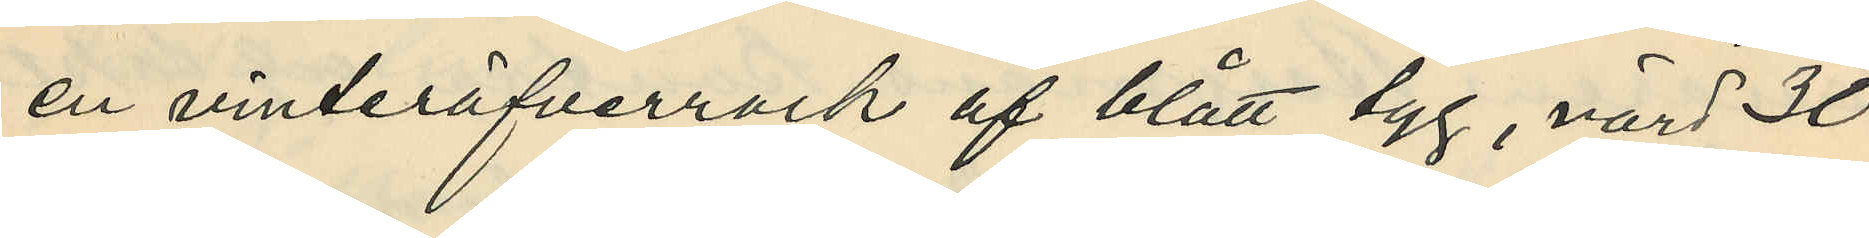en vinteröfverrock af blått tyg, värd 30
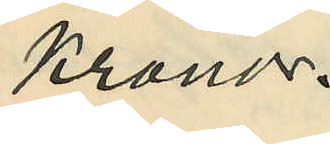Kronor.
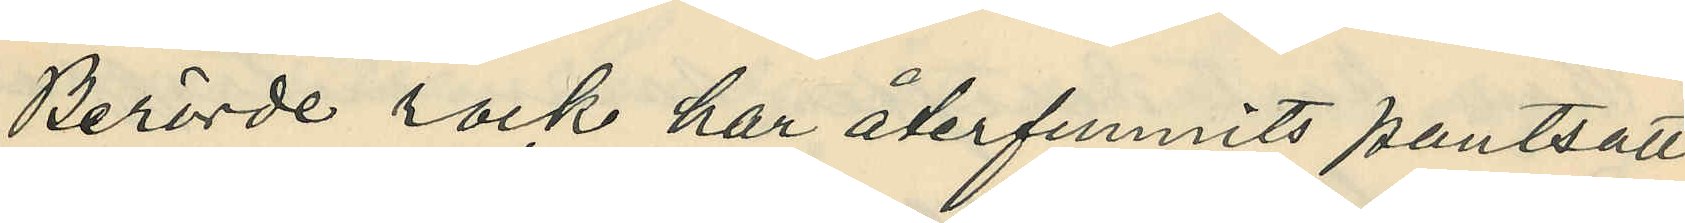Berörde rock har återfunnits pantsatt
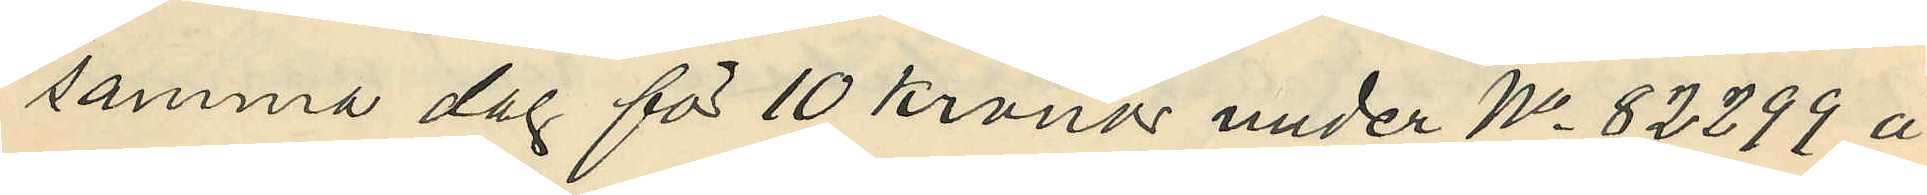samma dag för 10 Kronor under No 82299 å
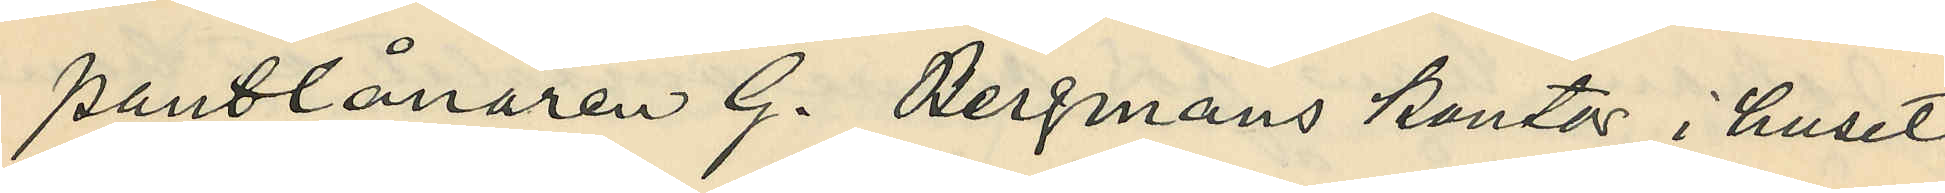pantlånaren G. Bergmans kontor i huset
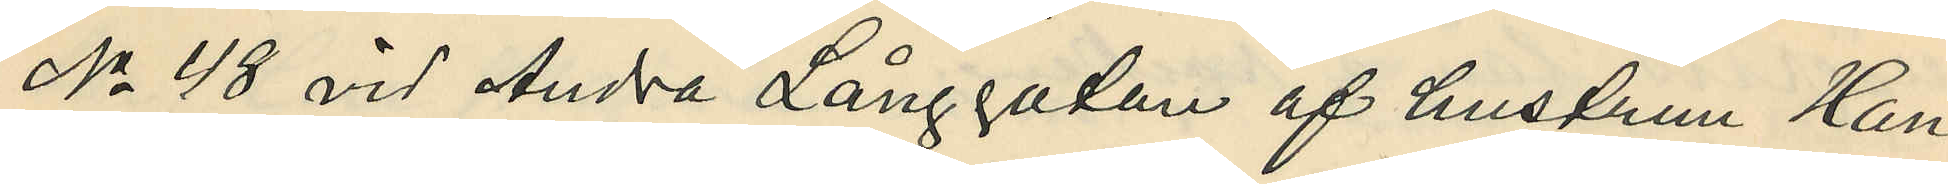No 48 vid Andra Långgatan af hustrun Han¬
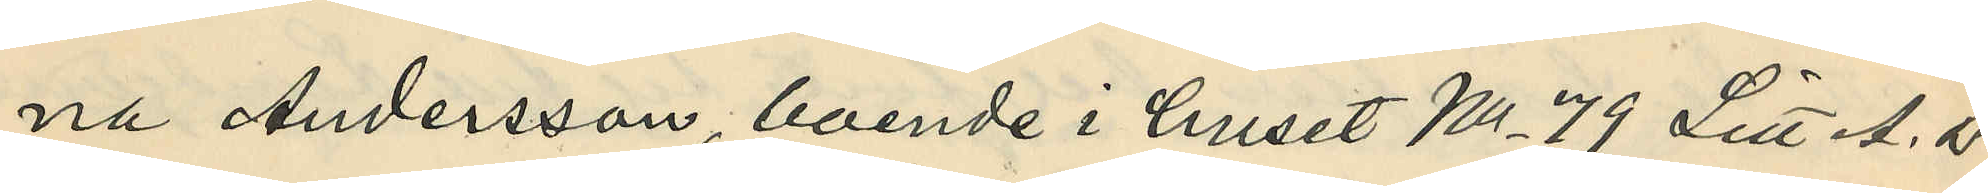na Andersson, boende i huset No 79 Litt A. P.
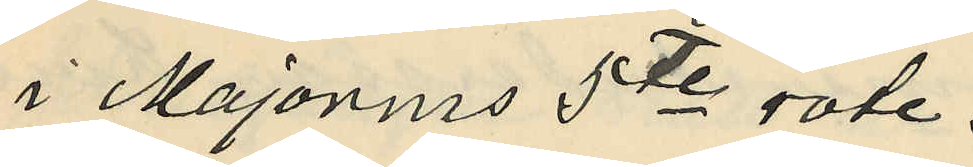i Majornas 5te rote.
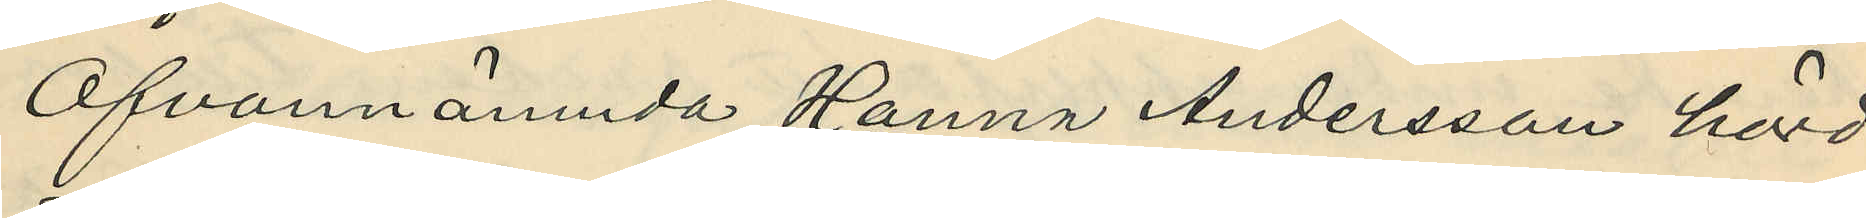Ofvannämnda Hanna Andersson hörd
